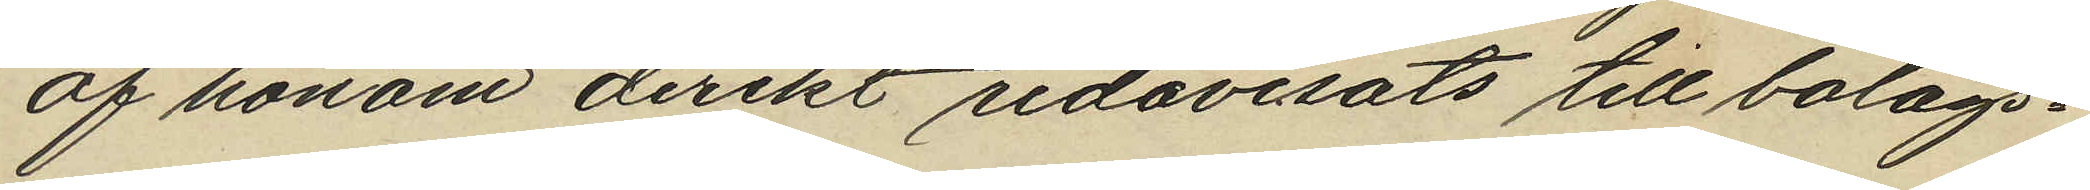af honom direkt redovisats till bolags¬
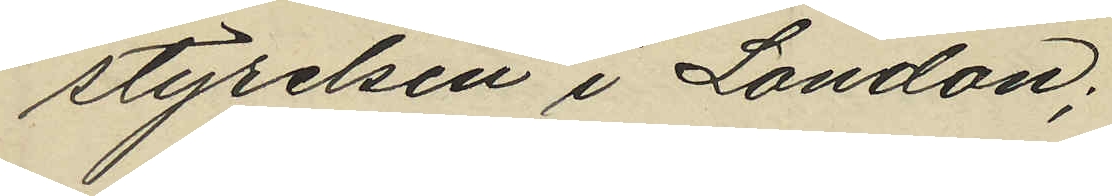styrelsen i London;
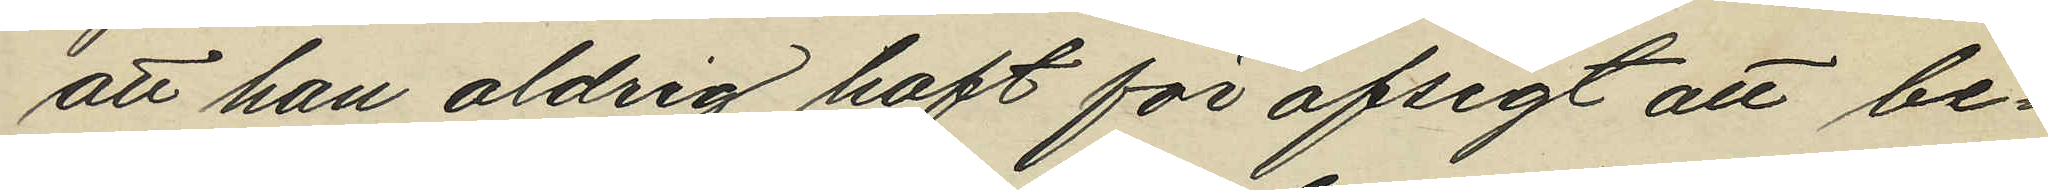att han aldrig haft för afsigt att be¬
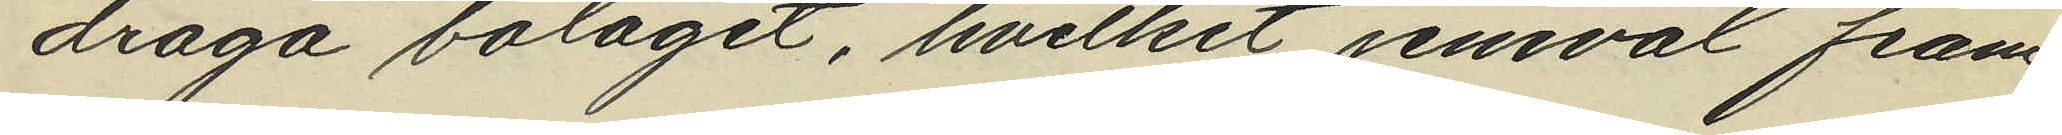draga bolaget, hvilket jemväl fram¬
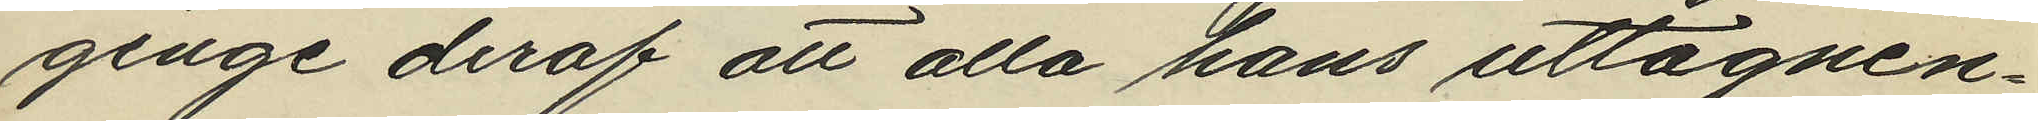ginge deraf att alla hans uttagnin¬
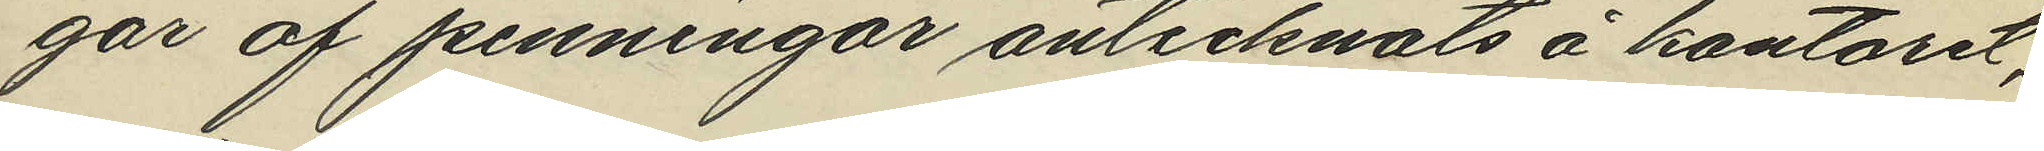gar af penningar antecknats å kontoret,
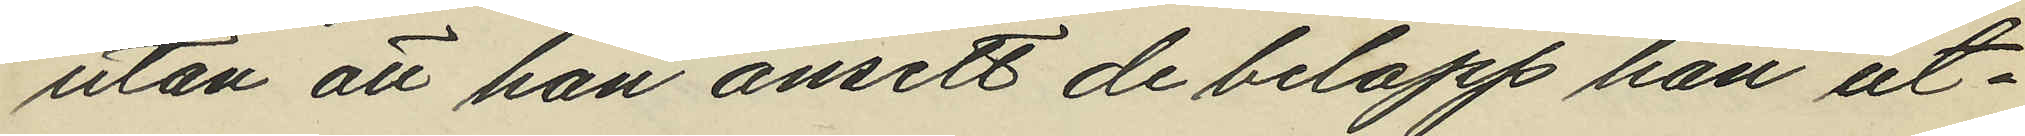utan att han ansett de belopp han ut¬
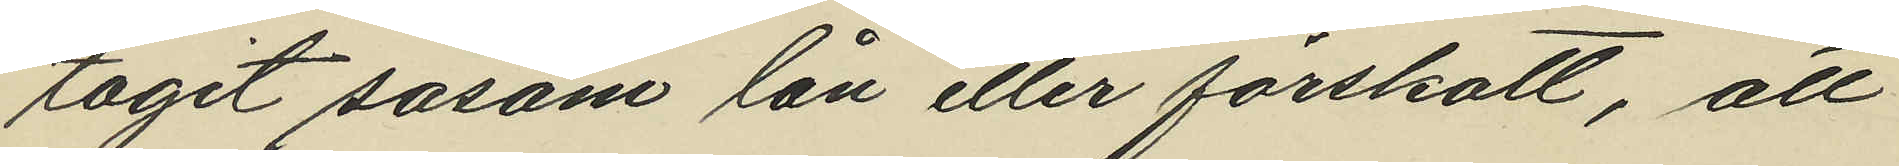tagit såsom lån eller förskott, att
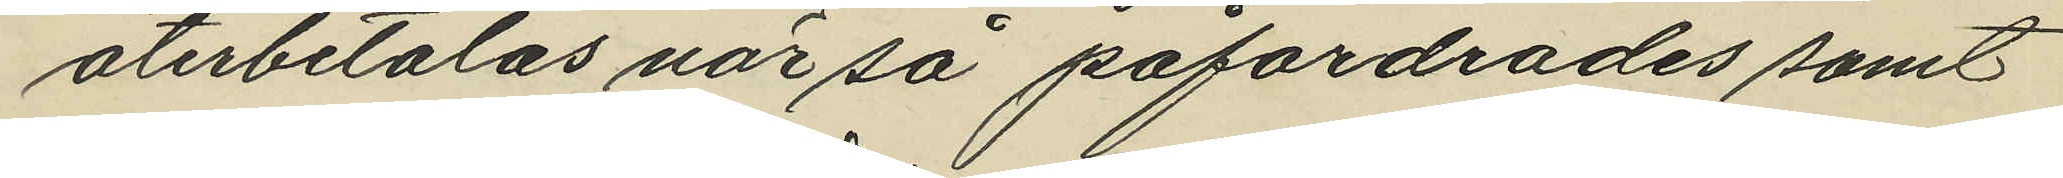återbetalas när så påfordrades, samt
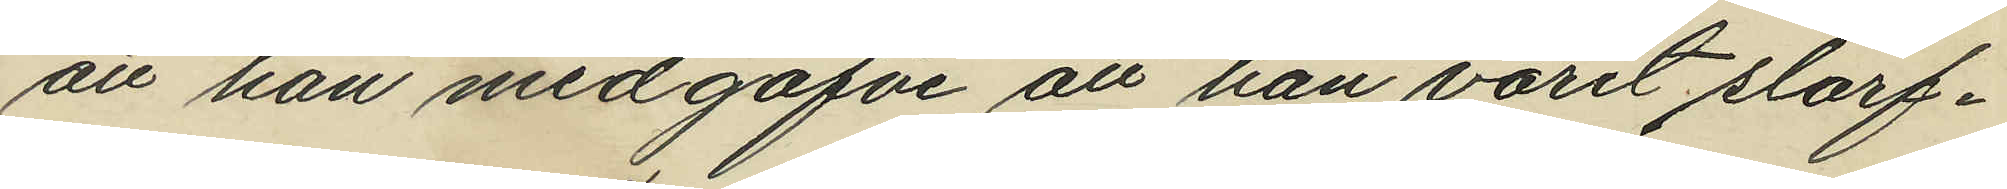att han medgåfve att han varit slarf¬
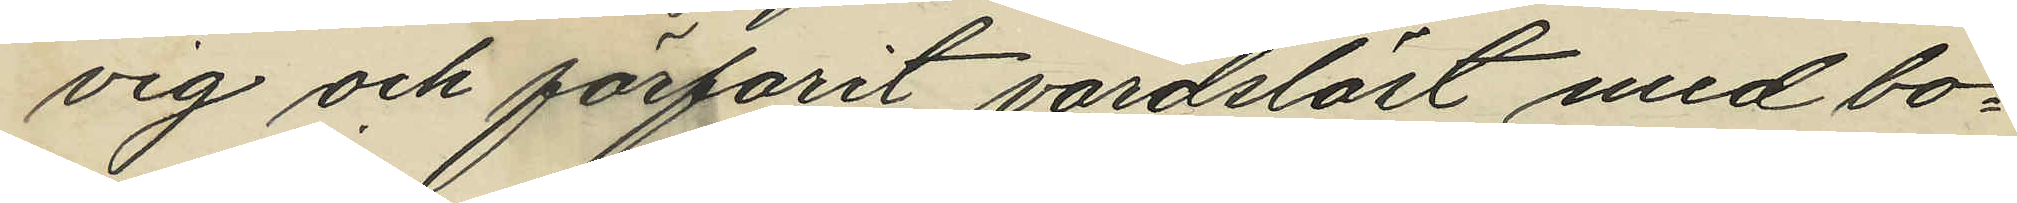vig och förfarit vårdslöst med bo¬
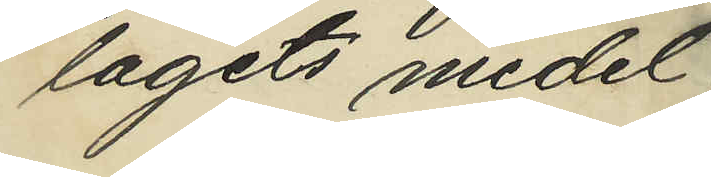lagets medel;
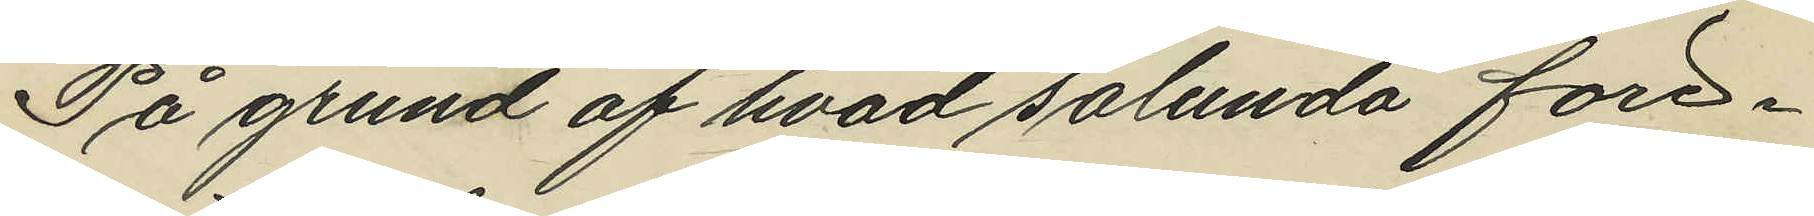På grund af hvad sålunda före¬
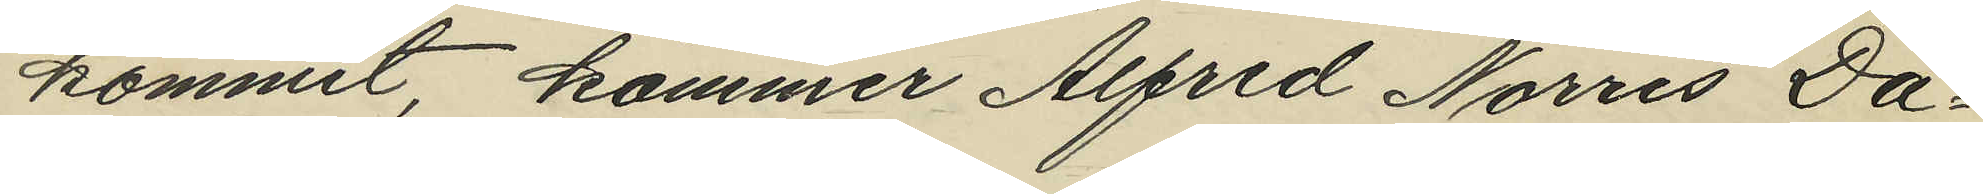kommit, kommer Alfred Norris Da¬
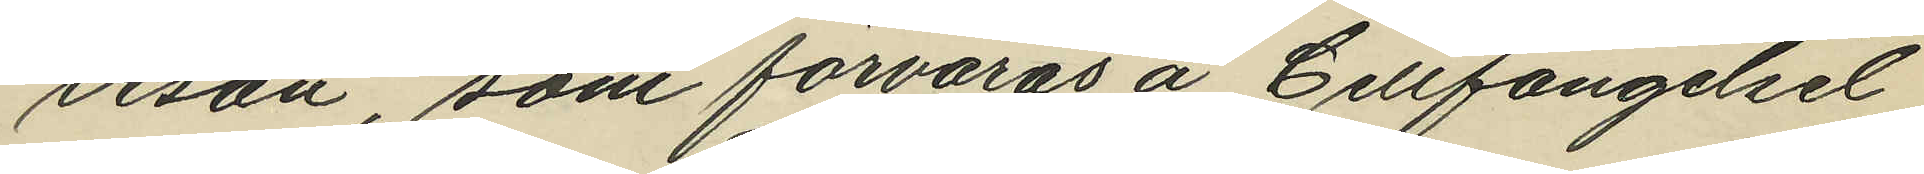vison, som förvaras å Cellfängelset
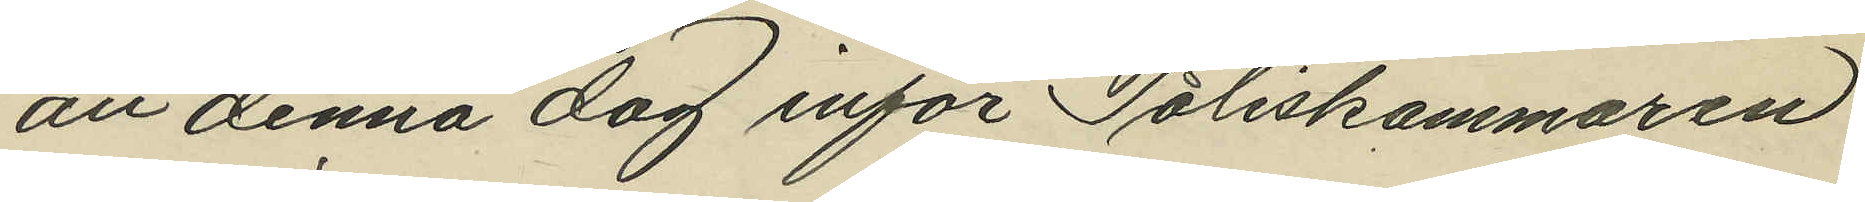att denna dag inför Poliskammaren
